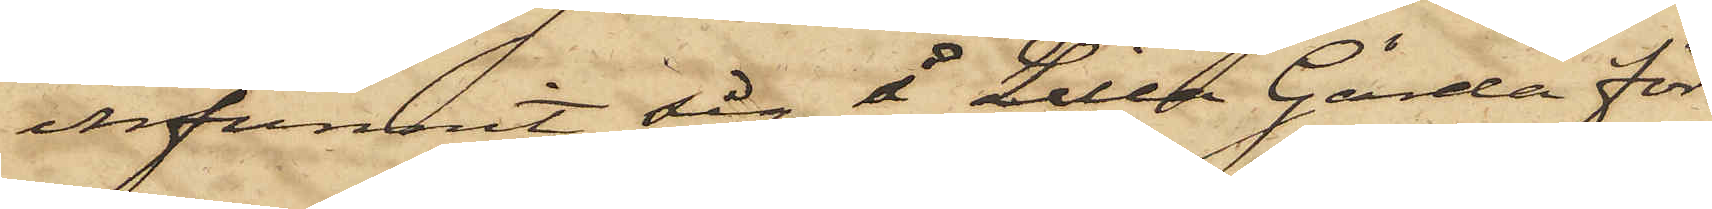infunnit sig å Lilla Gårda för
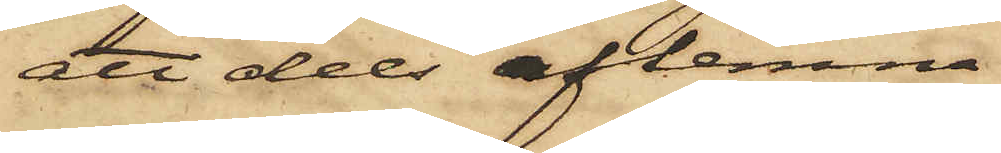att dels aflemna
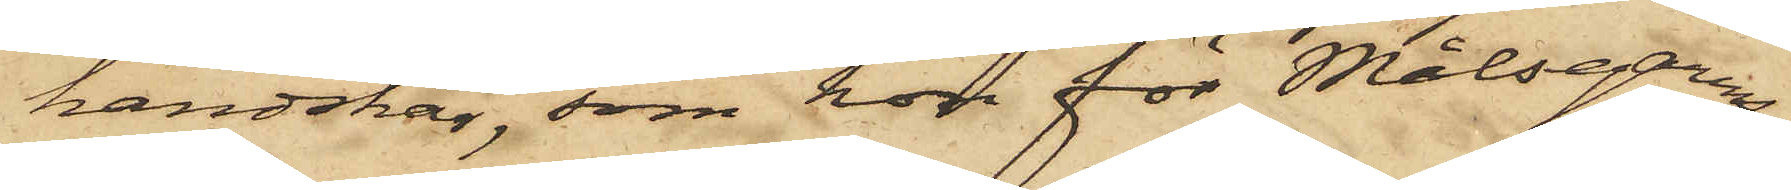handskar, som hon för Målsegarens
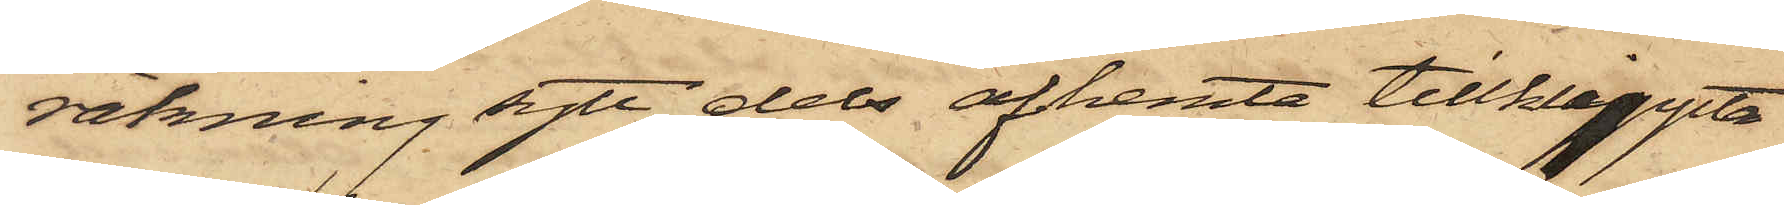räkning sytt, dels afhemta tillklippta
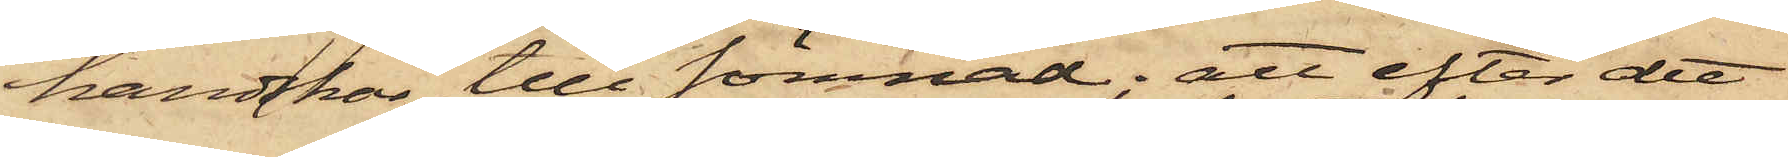handskar till sömnad; att efter det
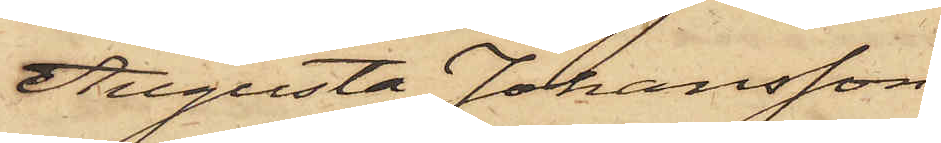Augusta Johansson
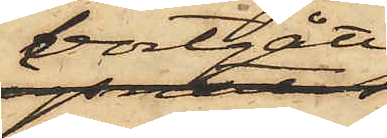bortgått,
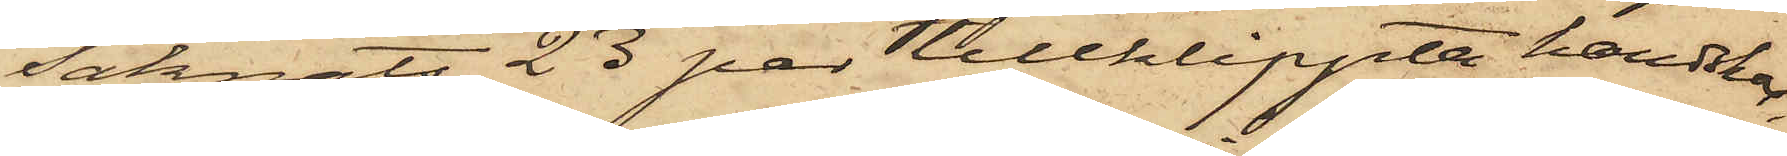saknats 23 par tillklippta handskar,
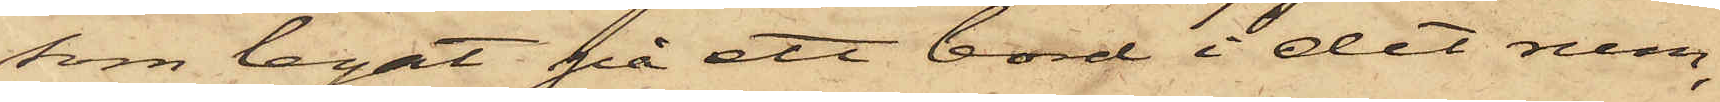som legat på ett bord i det rum,
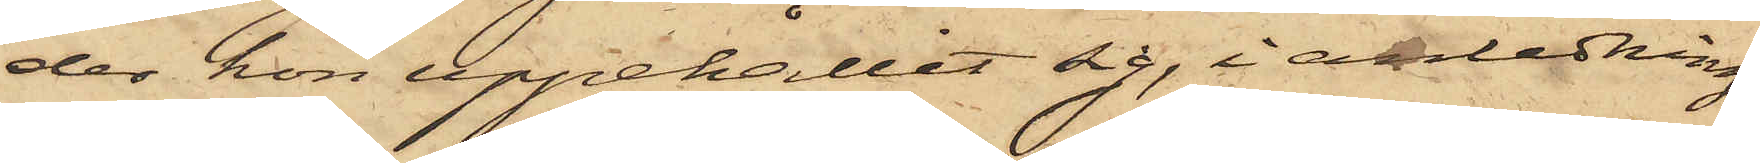der hon uppehållit sig, i anledning
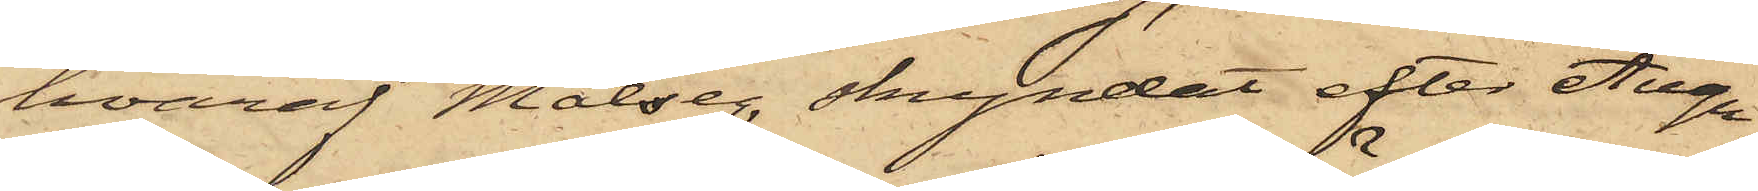hvaraf Målseg. skyndat efter Augu¬
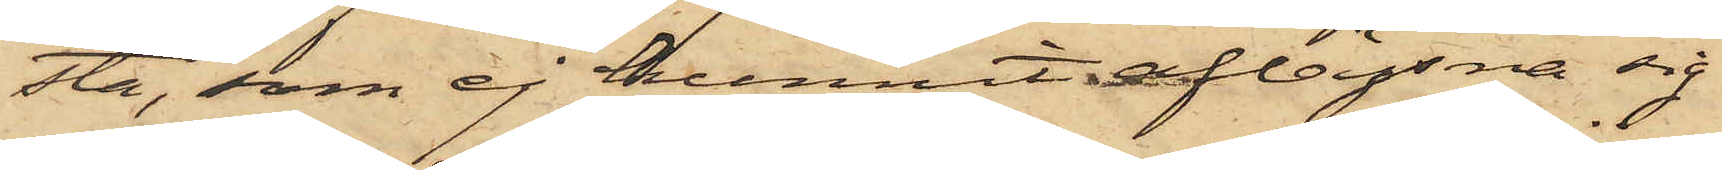sta, som ej hunnit aflägsna sig
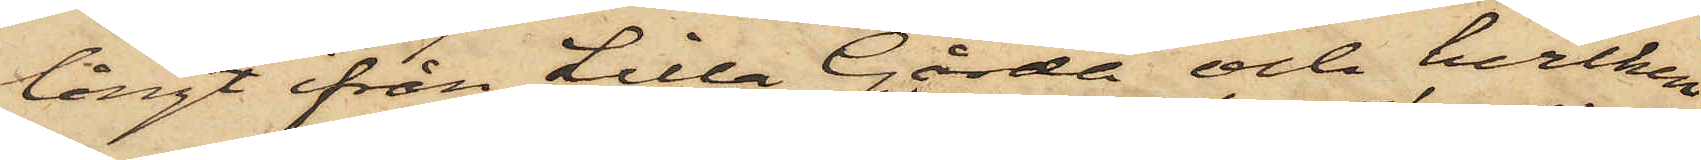långt ifrån Lilla Gårda och hvilken
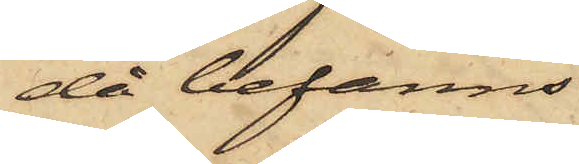då befanns
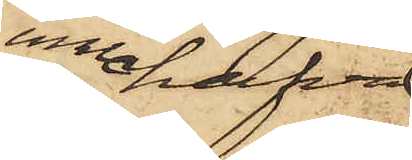innehafva
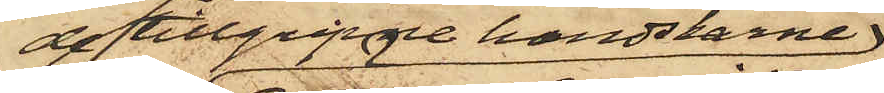de tillgripne handskarne
